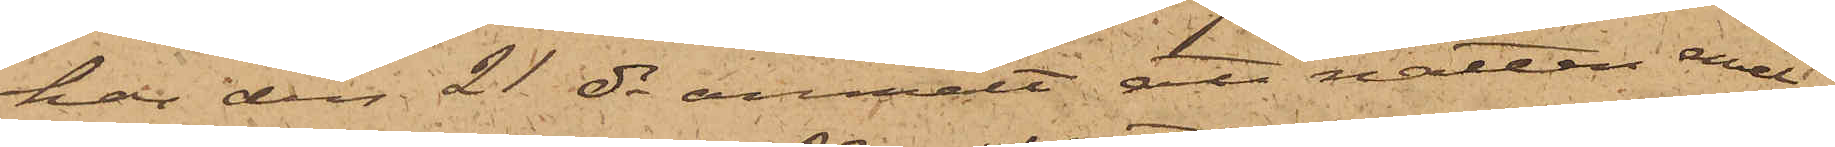har den 21 ds anmält, att natten emel¬
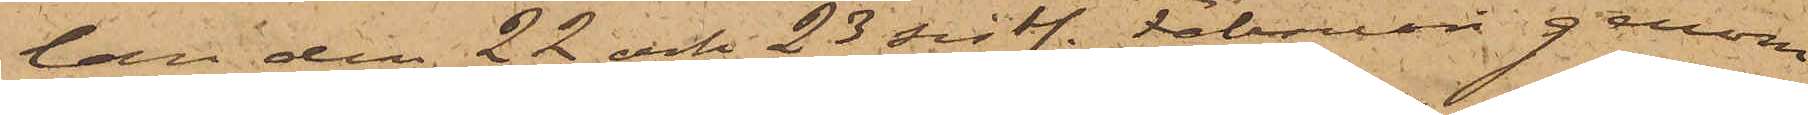lan den 22 och 23 sistl. Februari genom
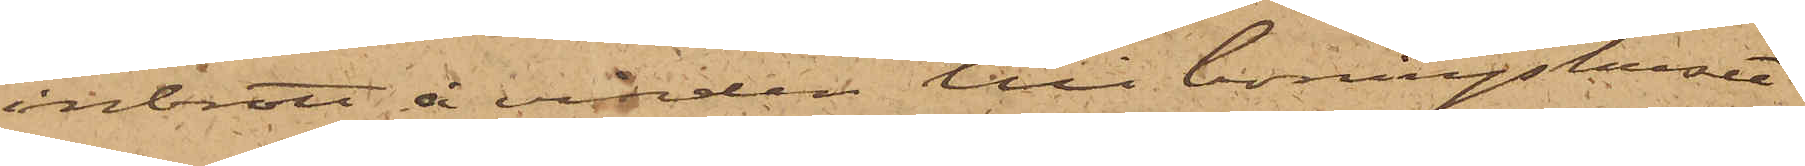inbrott å vinden till boningshuset
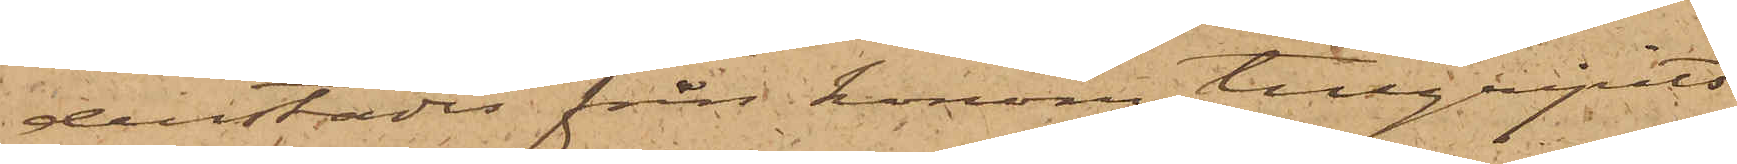derstädes från honom tillgripits
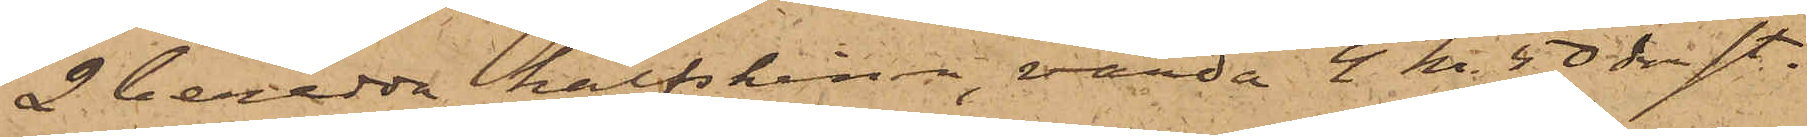2 beredda kalfskinn, värda 4 kr. 50 öre st.
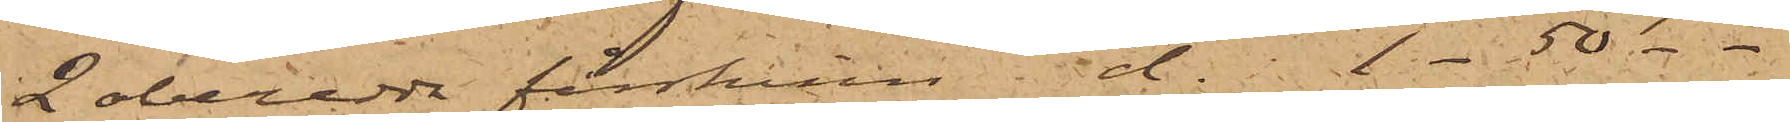2 oberedda fårskinn do 1 - 50 - -
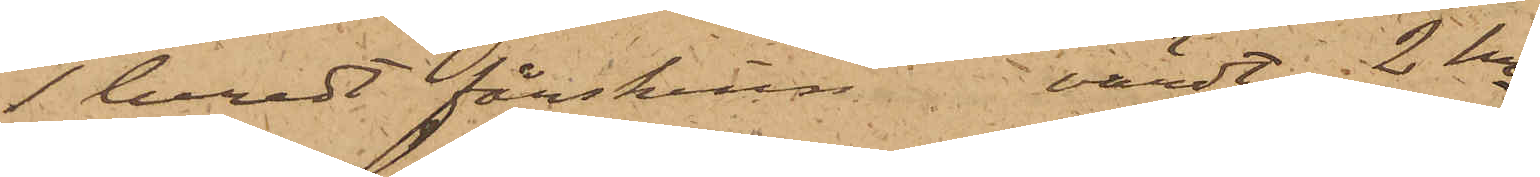1 beredt fårskinn, värdt 2 kr
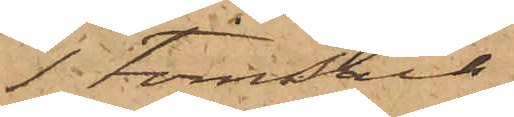1 Tomsäck
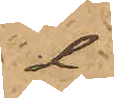d
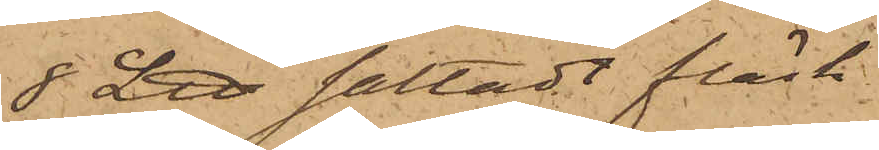8 L℔ saltadt fläsk
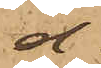d
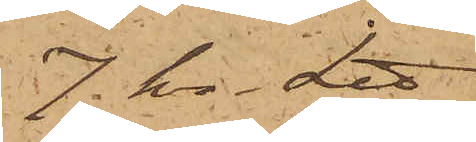7. kr. L℔
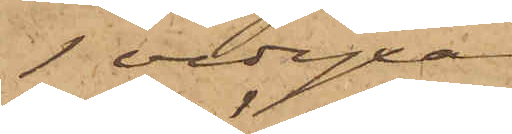1 vedyxa
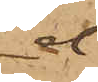d
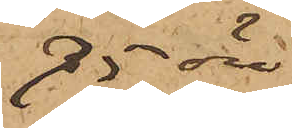75 öre
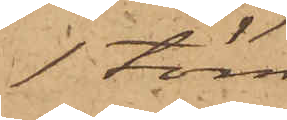1 töm
